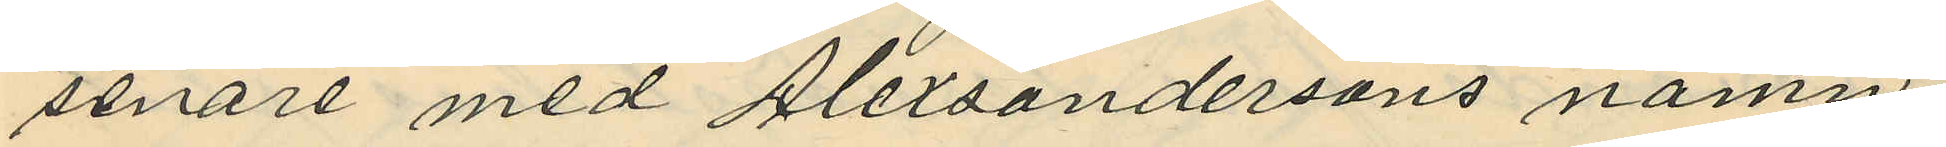senare med Alexsandersons namn,
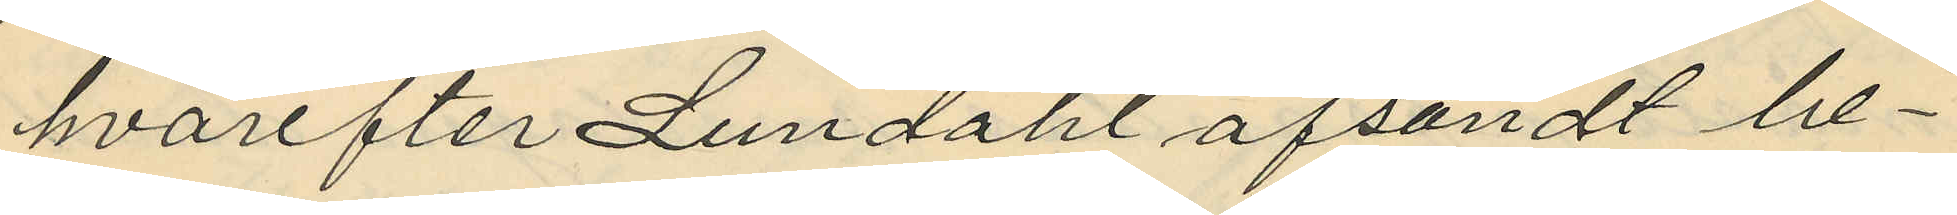hvarefter Lendahl afsändt be¬
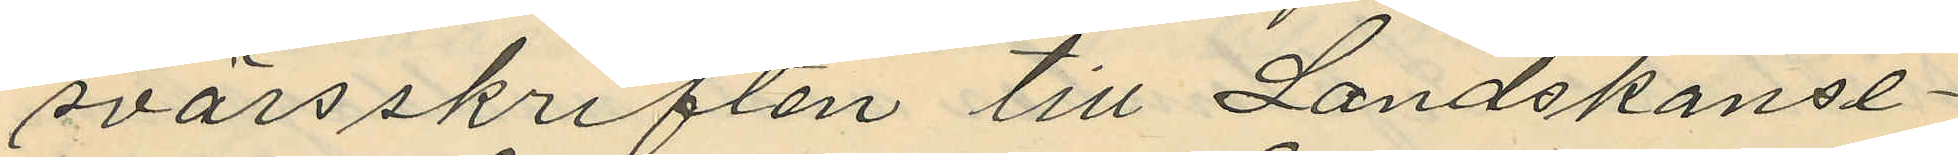svärsskriften till Landskansl¬
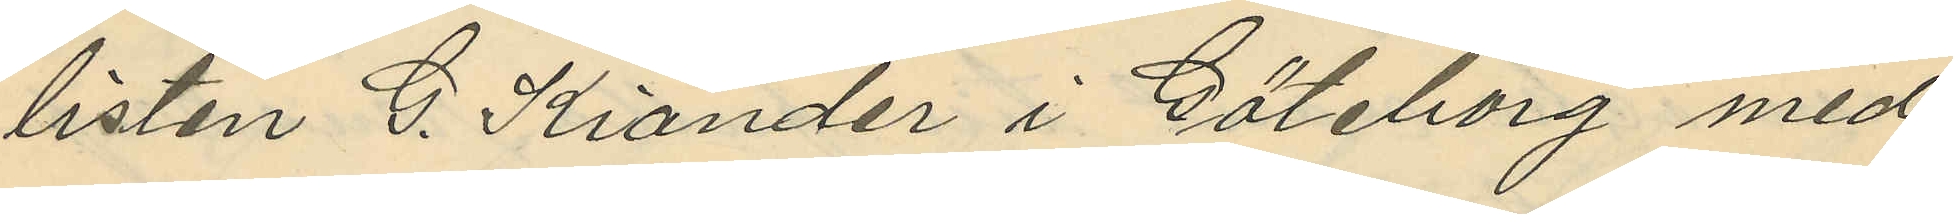listen C. Kiander i Göteborg med
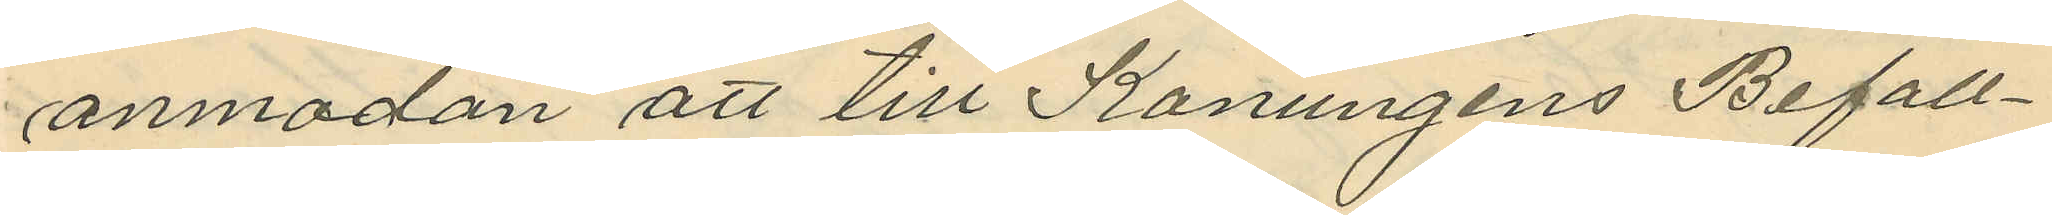anmodan att till Konungens Befall¬
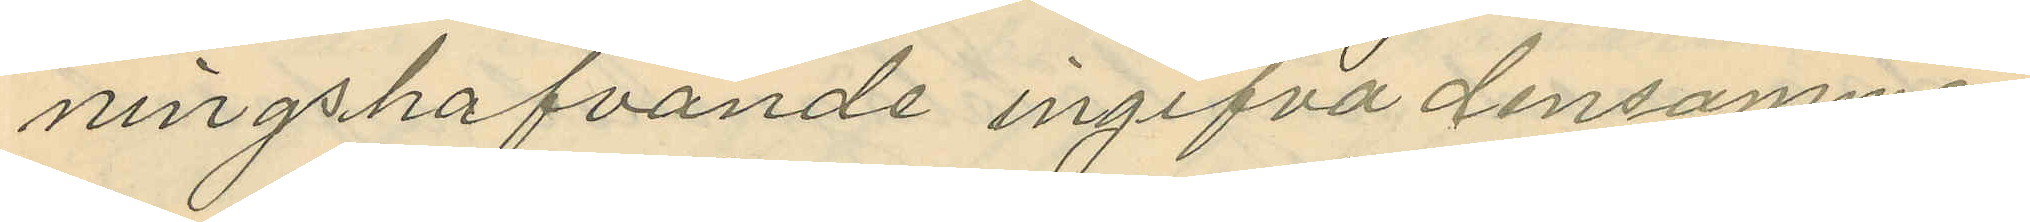ningshafvande ingifva densamma.
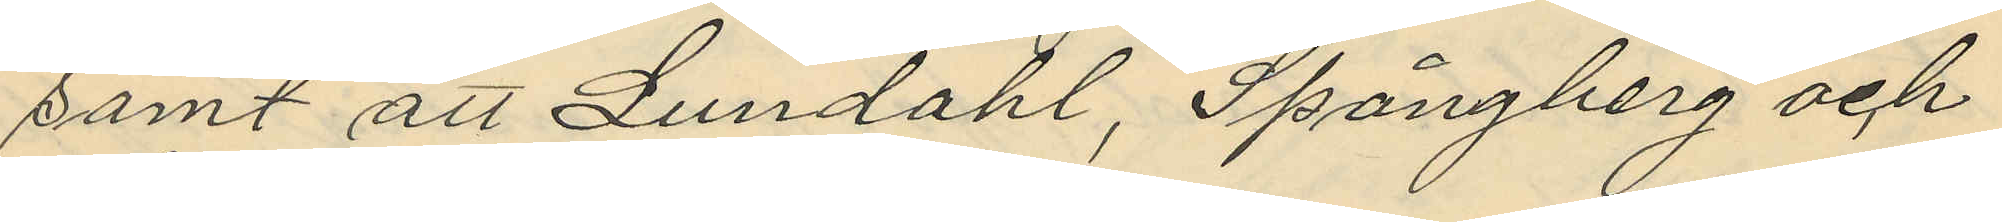samt att Lundahl, Spångberg och
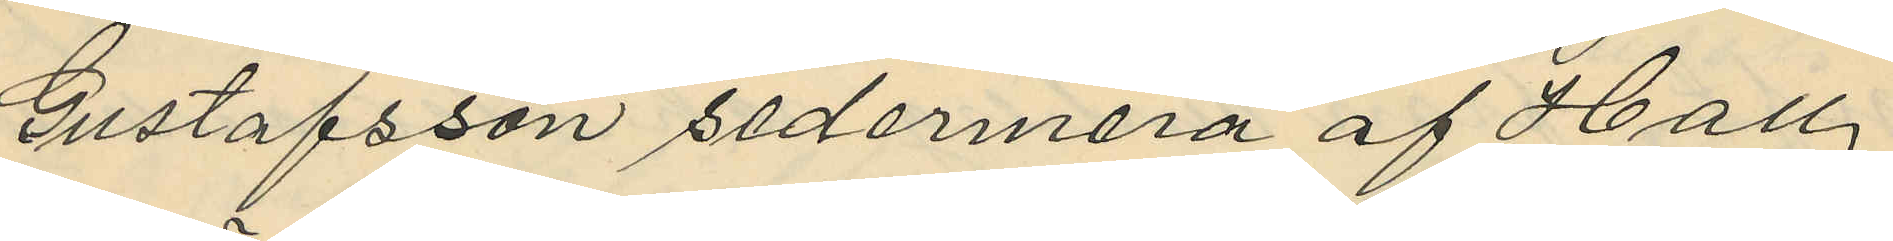Gustafsson sedermera af Hall
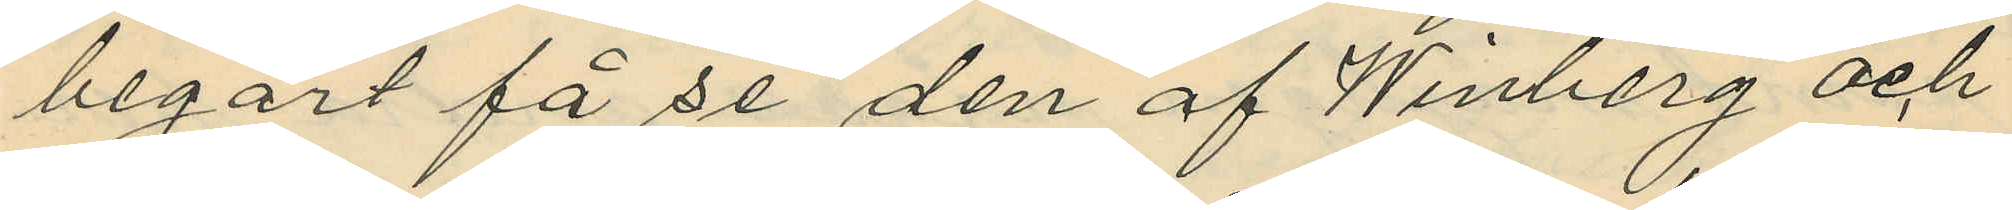begärt få se den af Winberg och
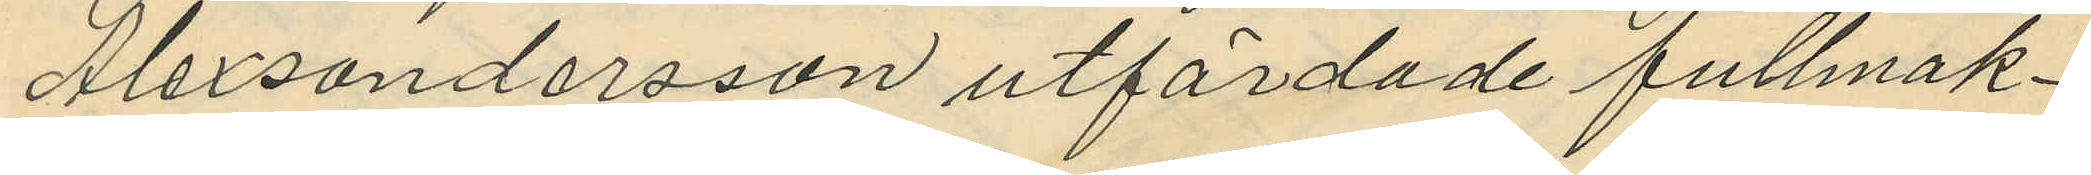Alexandersson utfärdade fullmak¬
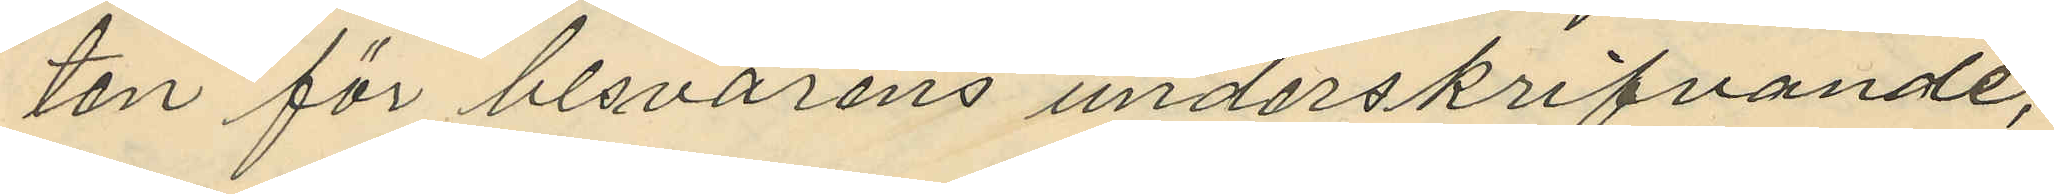ten för besvärens underskrifvande,
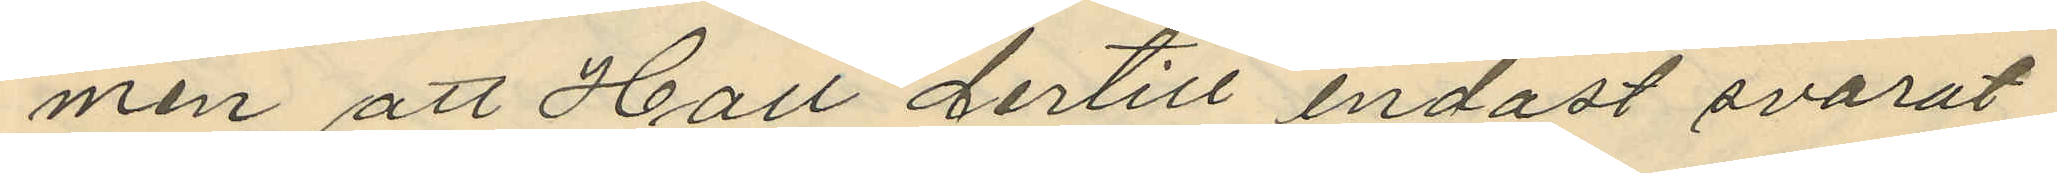men att Hall dertill endast svarat
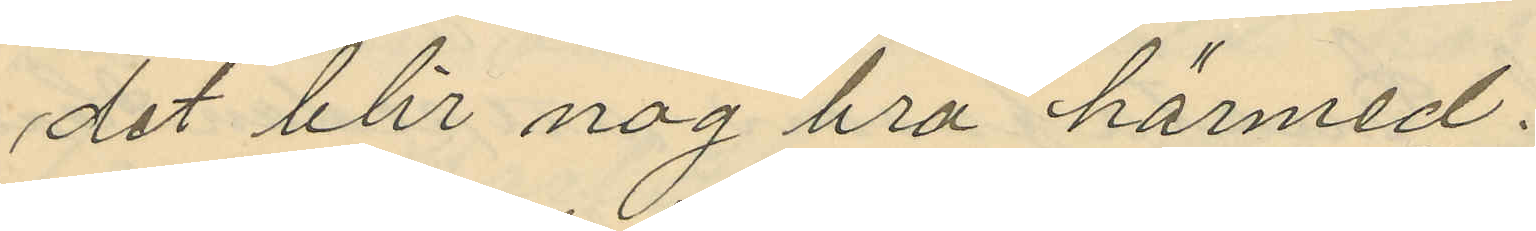det blir nog bra härmed.
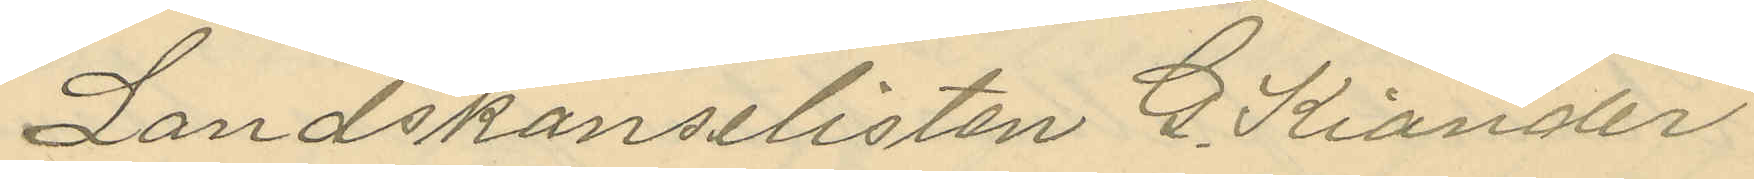Landskanslisten G. Kiander
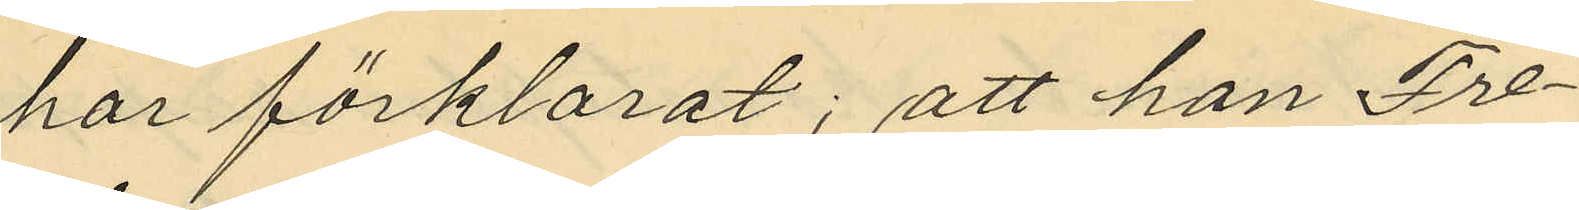har förklarat; att han Fre¬
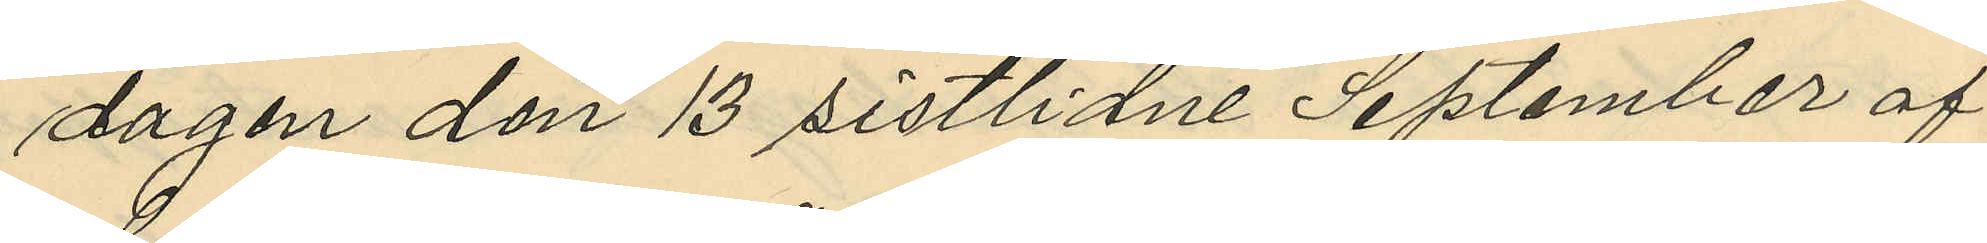dagen den 13 sistlidne September af
